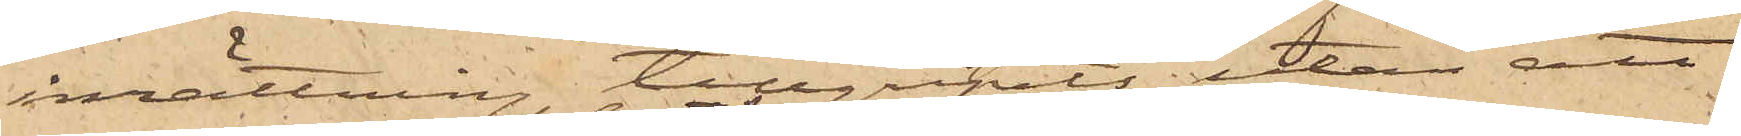inrättning, tillgripits, utan att
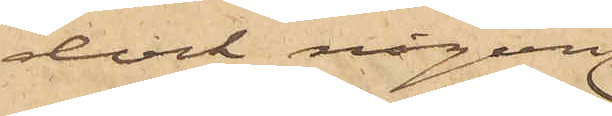dock någon
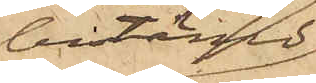bestämd
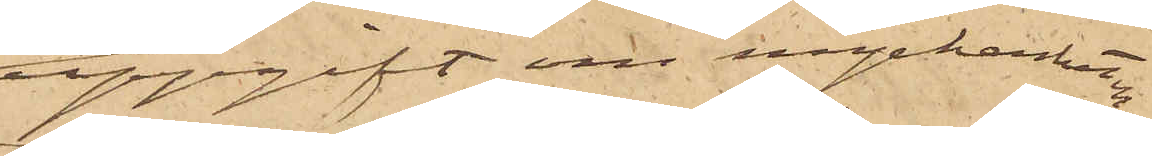uppgift om myckenheten
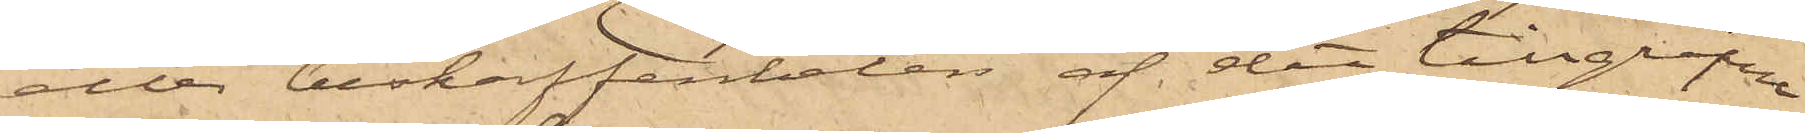eller beskaffenheten af det tillgripne
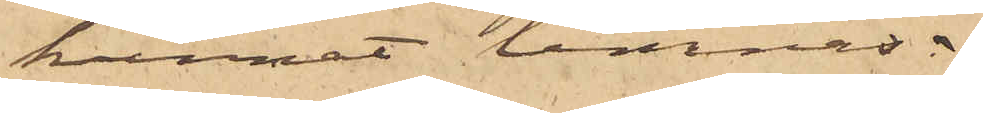kunnat lemnas.
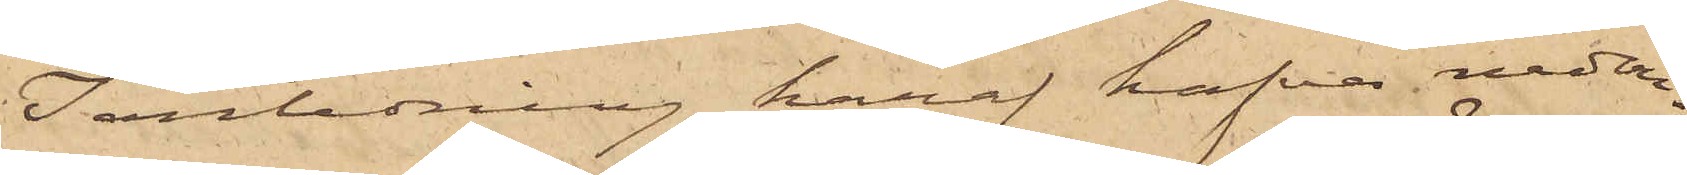I anledning häraf hafva nedan¬
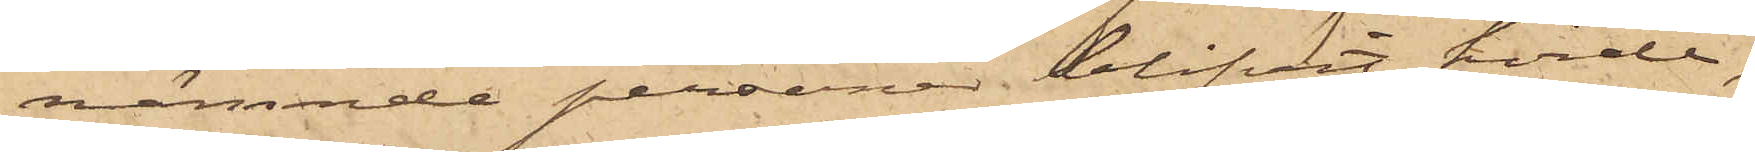nämnde personer blifvit hörde,
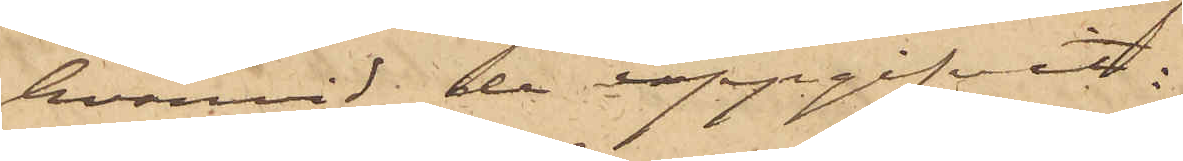hvarvid de uppgifvit:
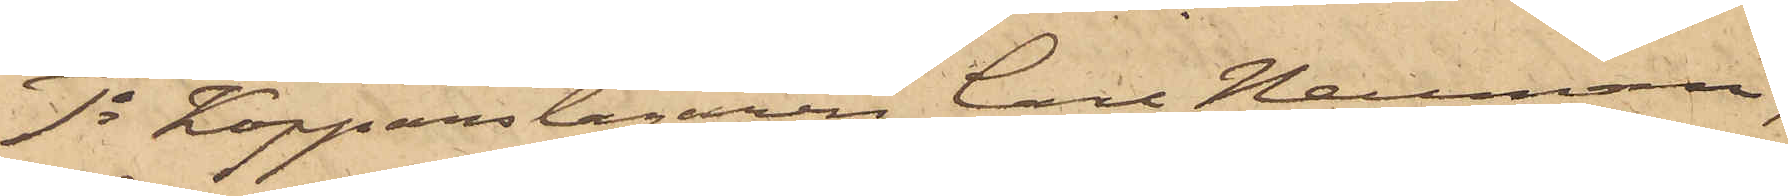1o Kopparslagaren Carl Neuman,
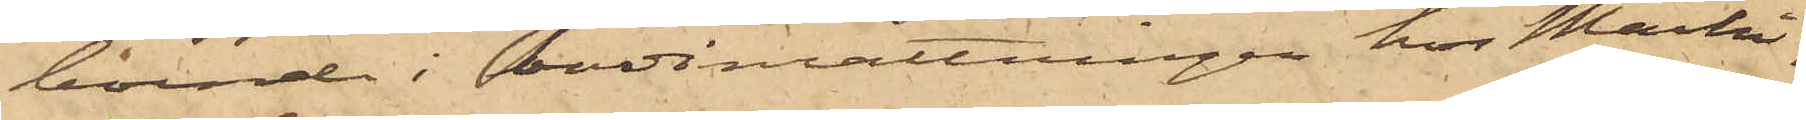boende i badinrättningen hos Maski¬
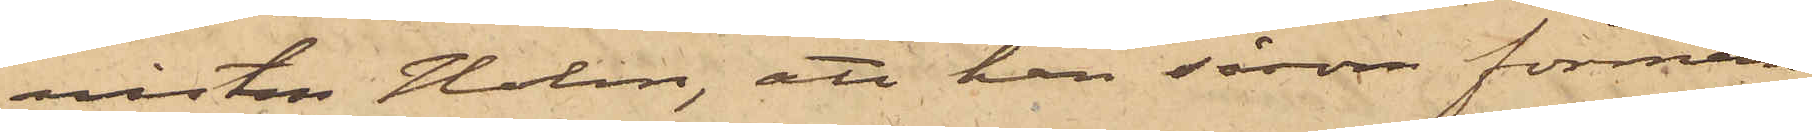nisten Holm, att han såsom förman
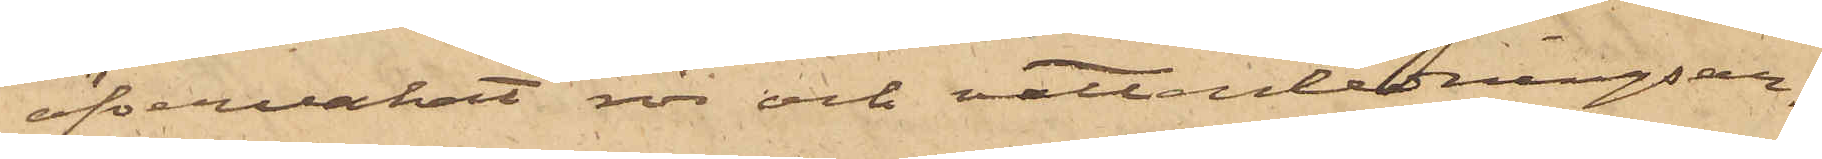öfvervakat rör och vattenledningsar¬
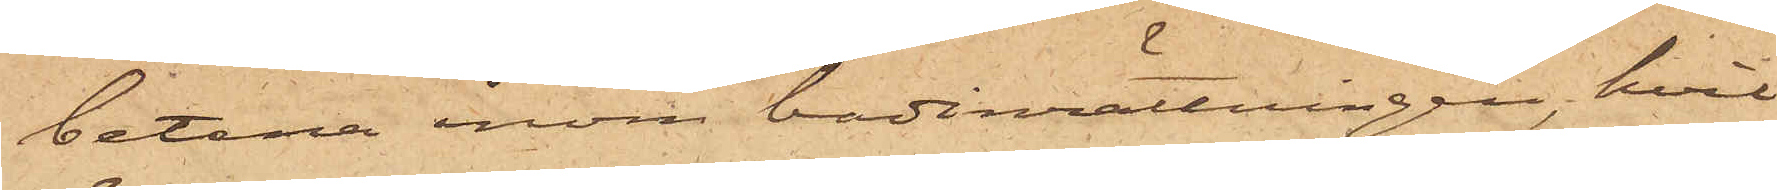betena inom badinrättningen, hvil¬
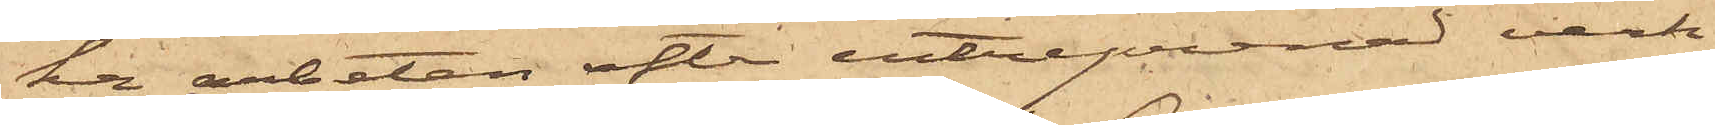ka arbeten efter entreprenad verk¬
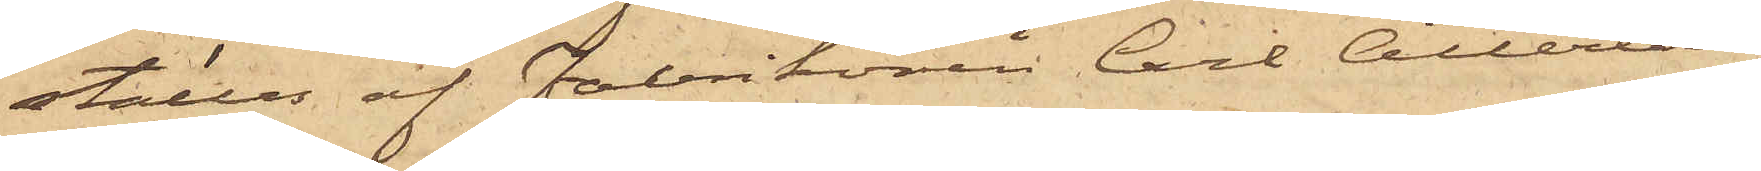ställes af Fabrikören Carl Atterling
